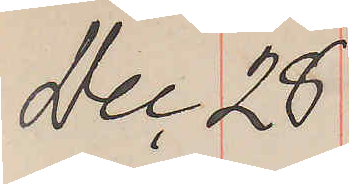Dec 28
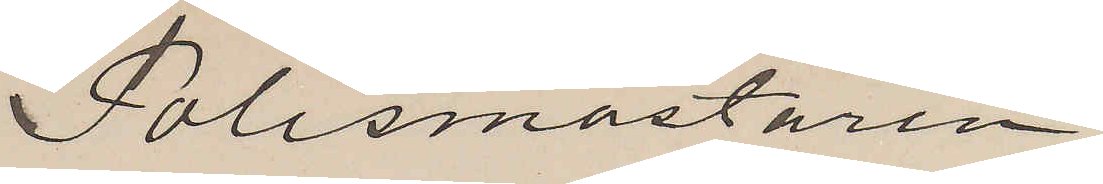Polismästaren.
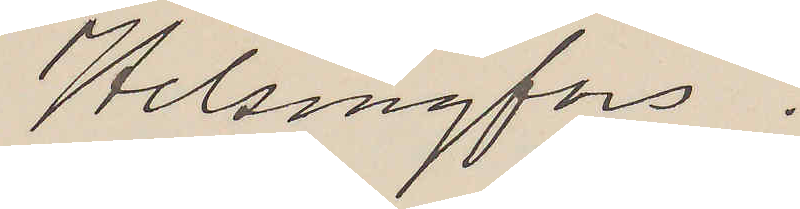Helsingfors.
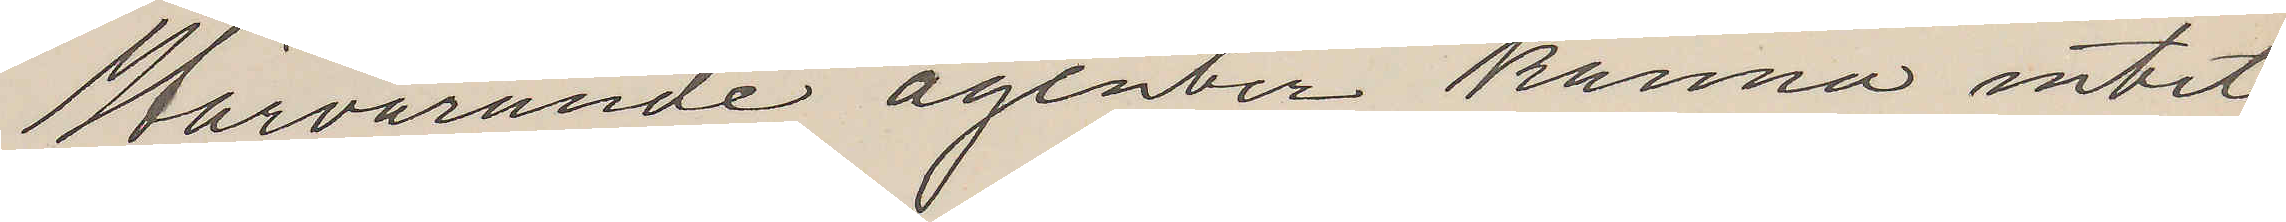Härvarande agenter känna intet
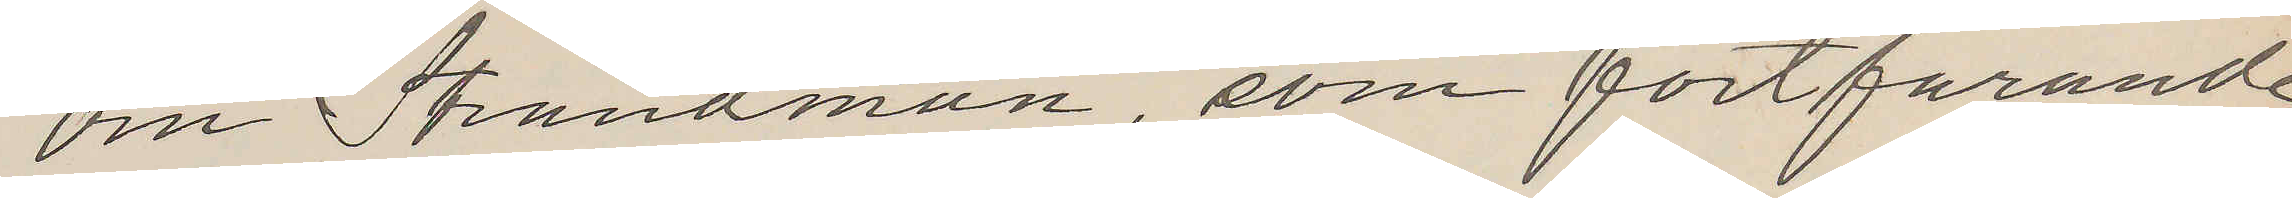om Strandman, som fortfarande
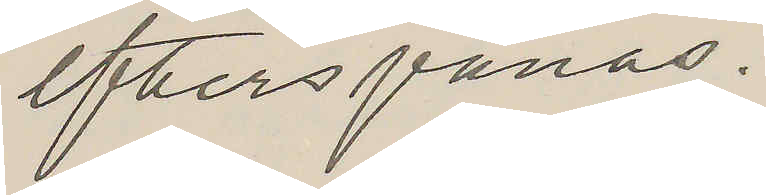efterspanas.
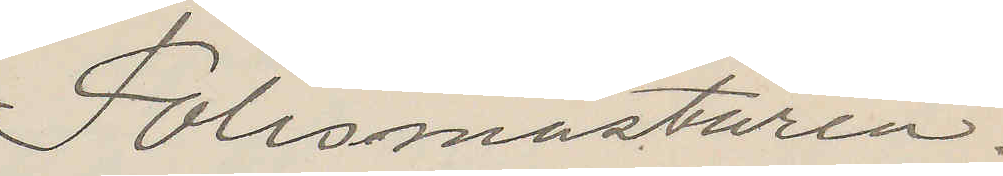Polismästaren.
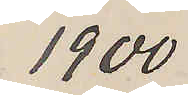1900
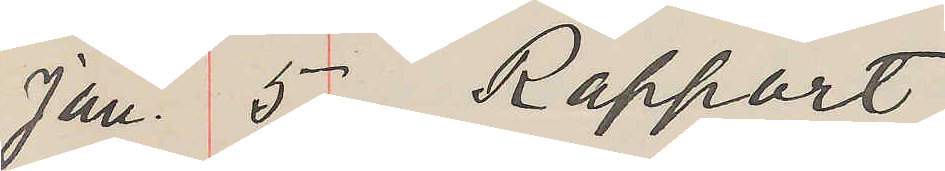Jan. 5 Rapport
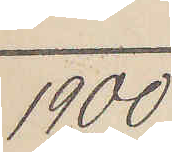1900
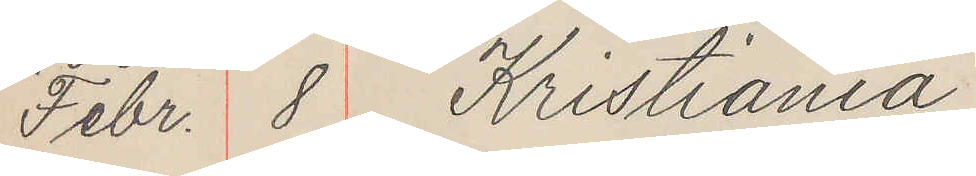Febr. 8 Kristiania
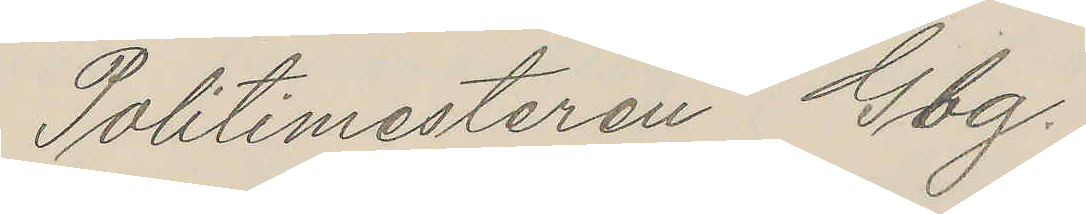Politimesteren Gbg.
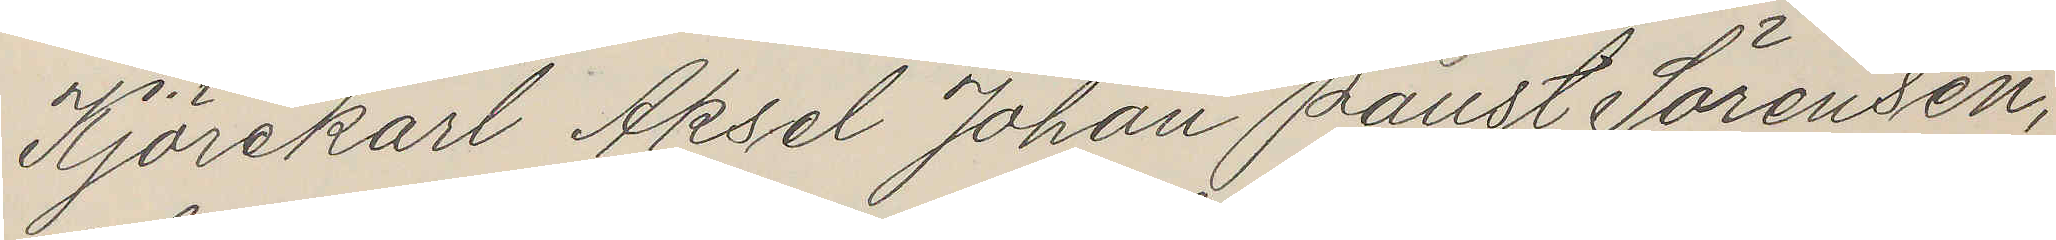Kjörekarl Aksel Johan Paust Sörensen,
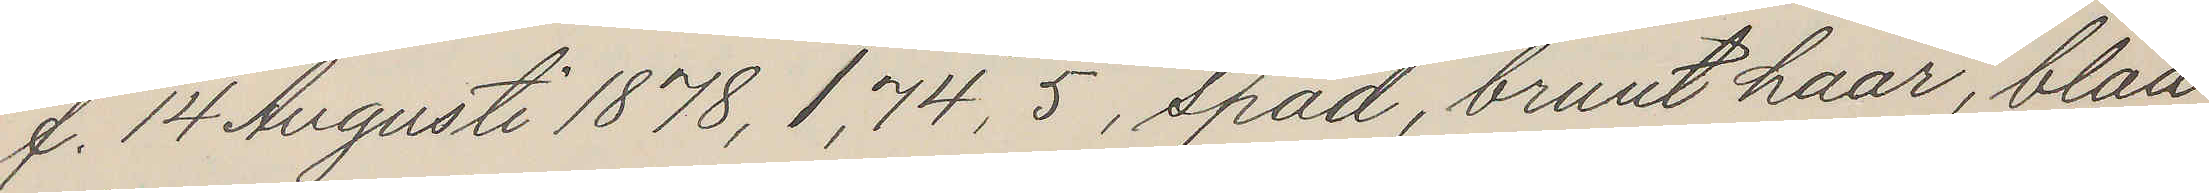f. 14 Augusti 1878, 1,74, 5, späd, brunt haar, blaa
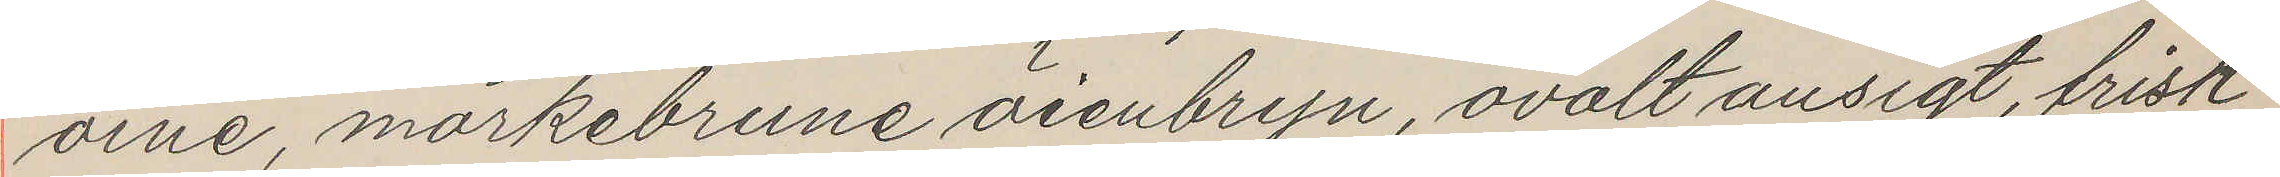öine, mörkebrune öienbryn, ovalt ansigt, frisk
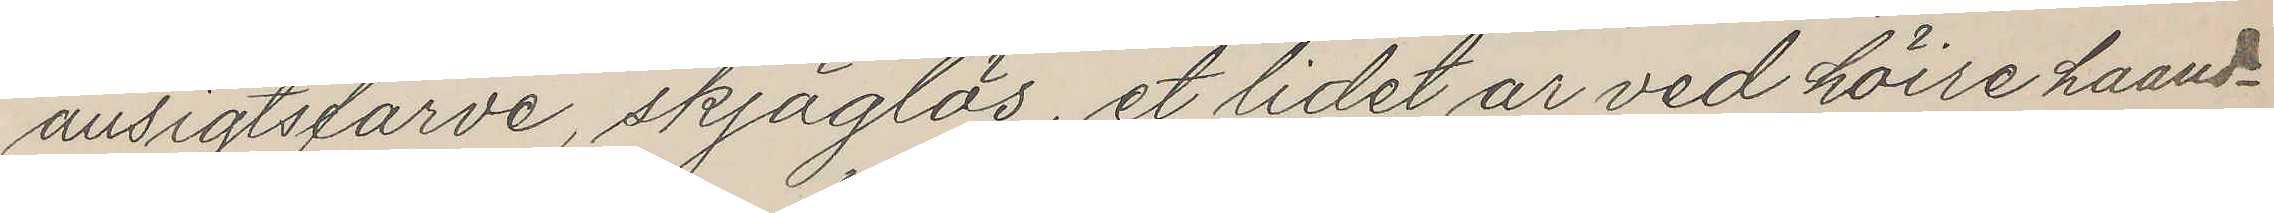ansigtsfarve, skjäglös, et lidet ar ved höire haand¬
